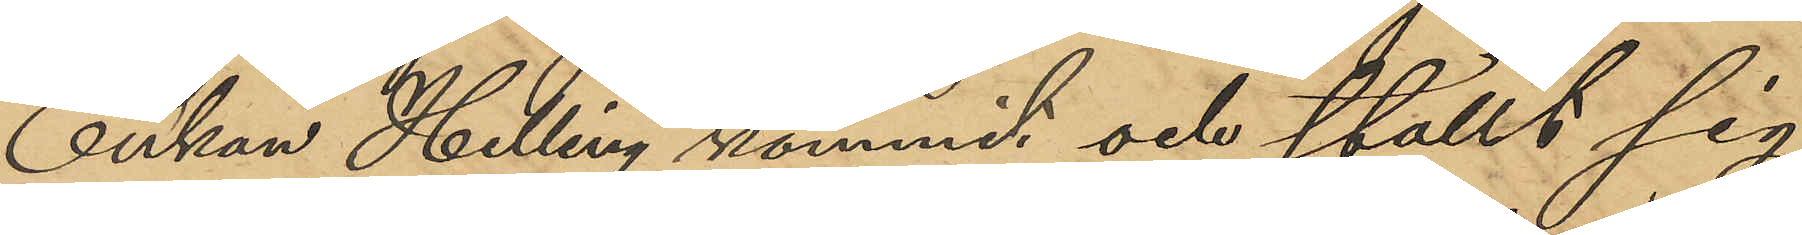Enkan Helling kommit och ställt sig
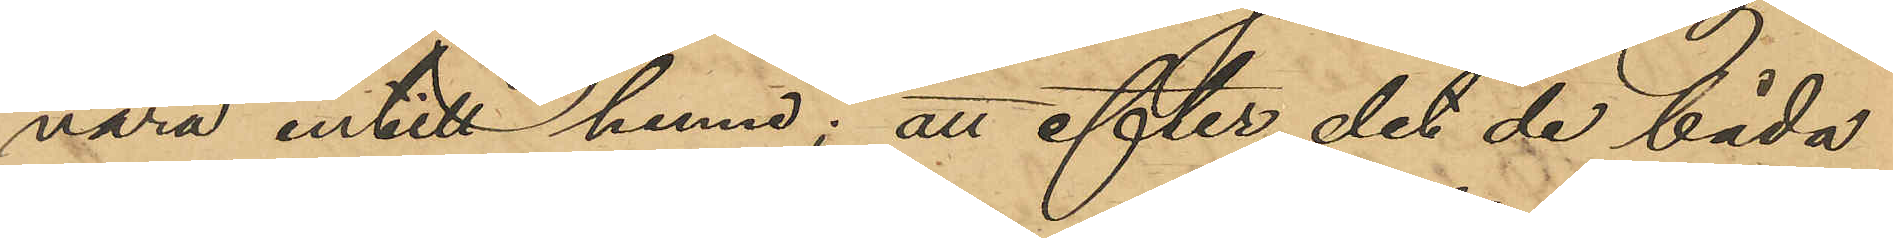nära intill henne; att efter det de båda
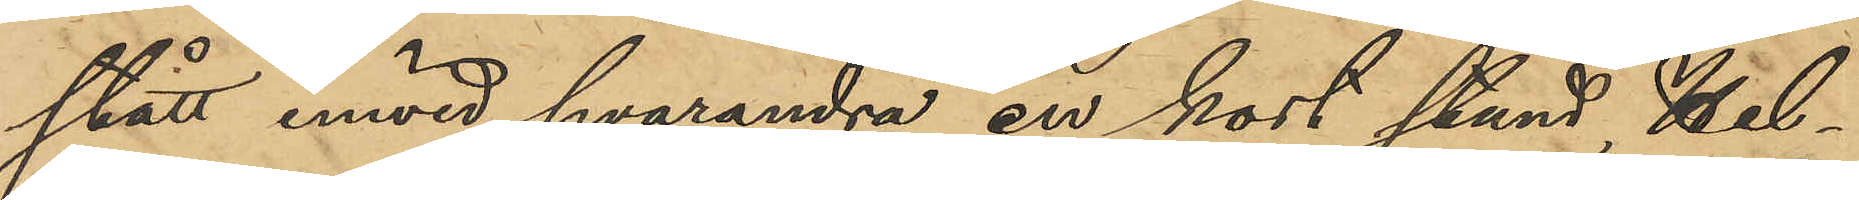stått invid hvarandra en kort stund, Hel¬
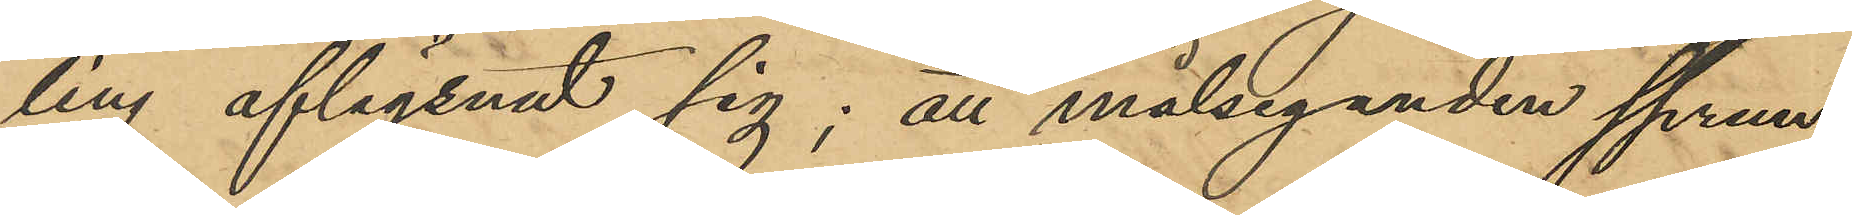ling aflägsnat sig; att målseganden sprun¬
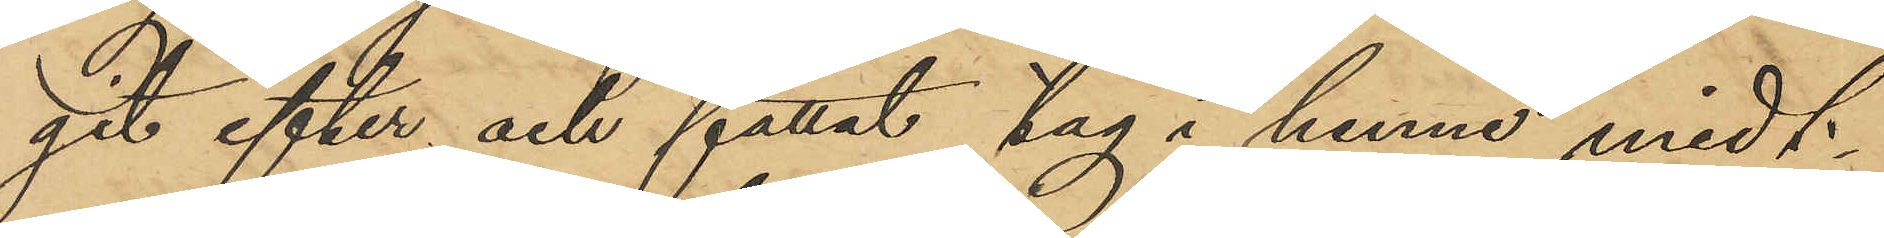git efter och fattat tag i henne midt
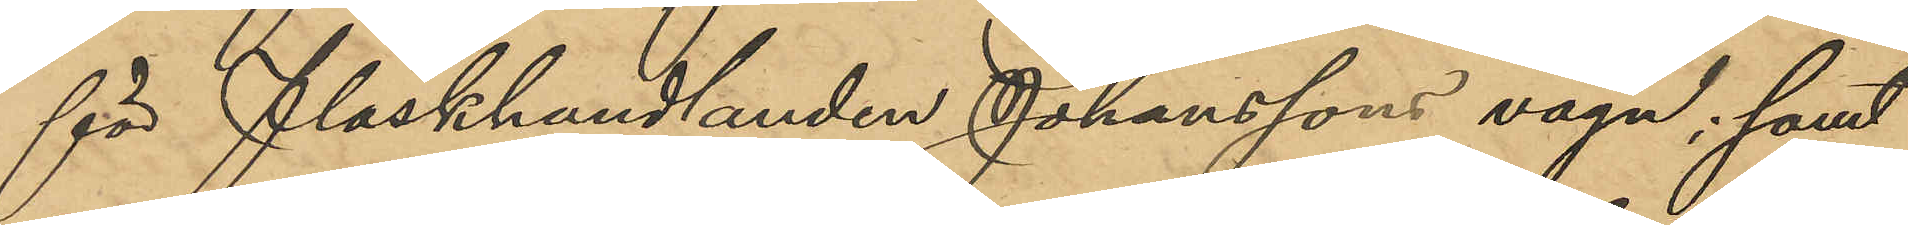för Fläskhandlanden Johanssons vagn; samt
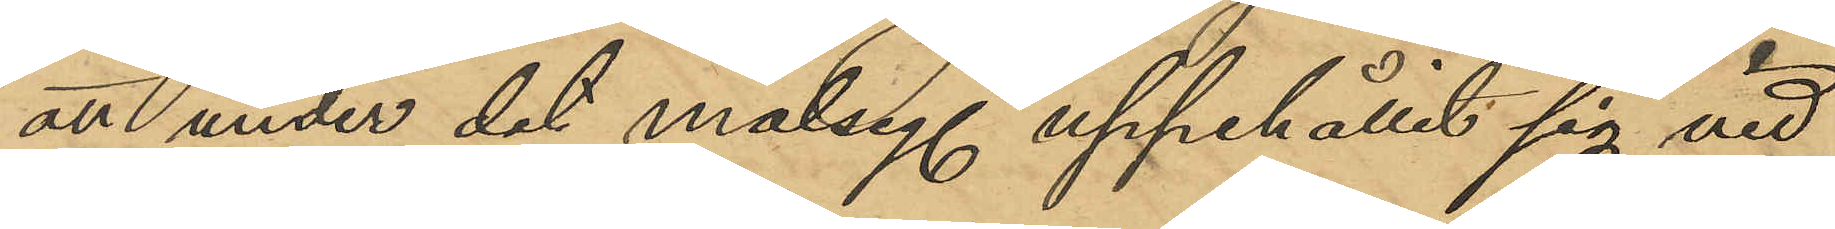att under det målseg uppehållit sig vid
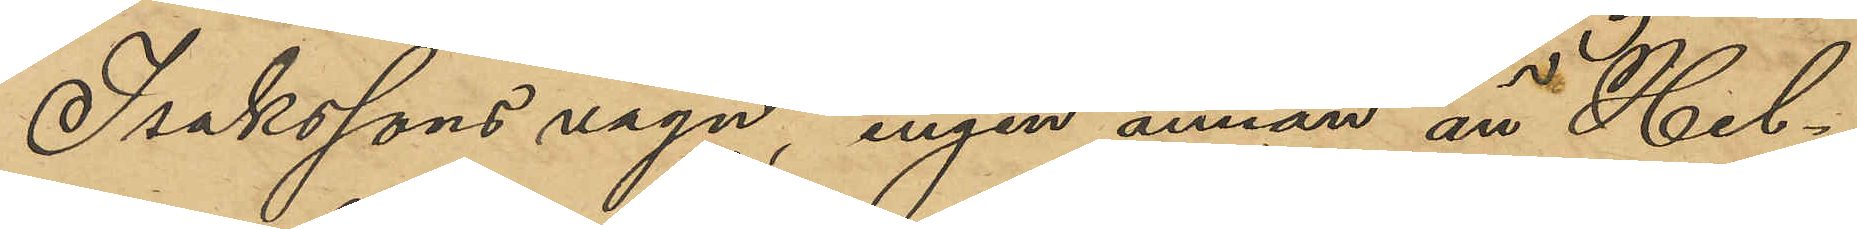Isakssons vagn, ingen annan än Hel¬
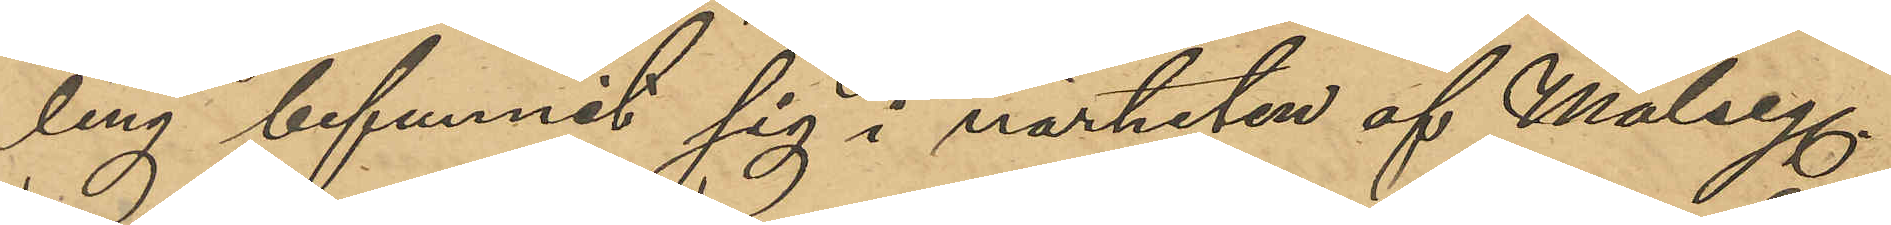ling befunnit sig i närheten af Målseg.
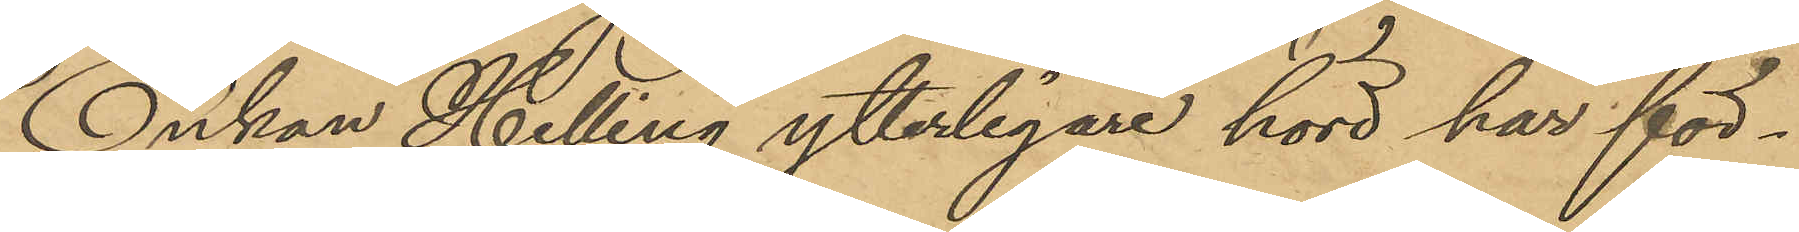Enkan Helling ytterligare hörd har för¬
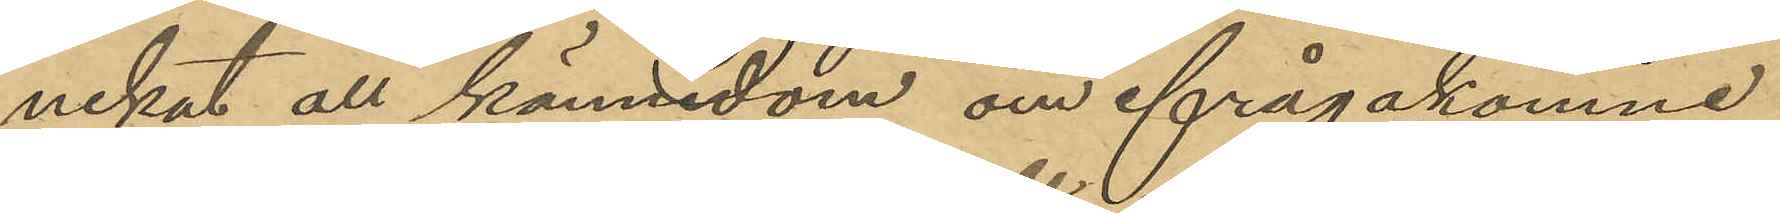nekat all kännedom om ifrågakomne
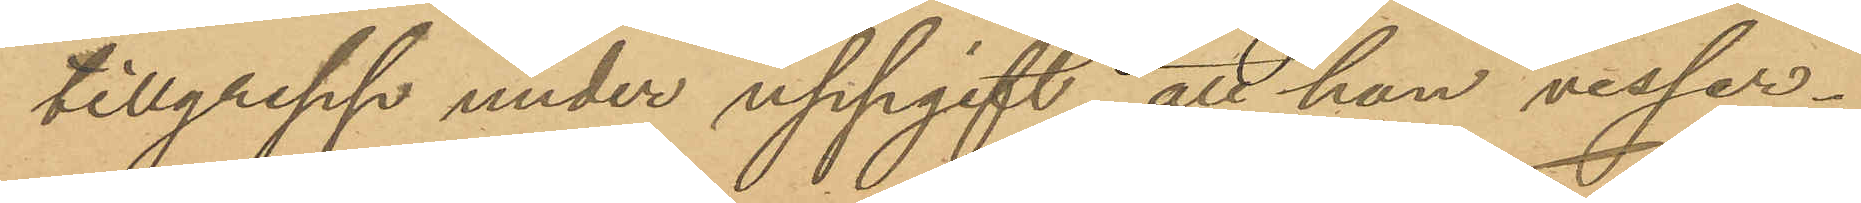tillgrepp under uppgift, att hon visser¬
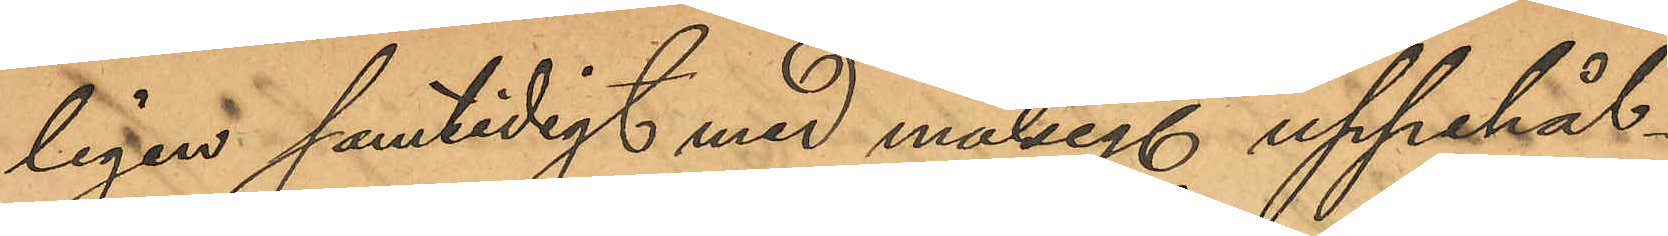ligen samtidigt med målseg uppehål¬
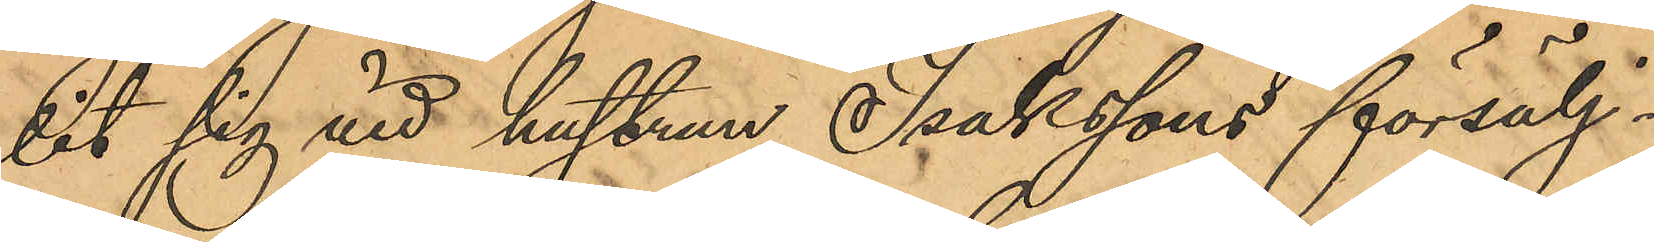lit sig vid hustrun Isakssons försälj¬
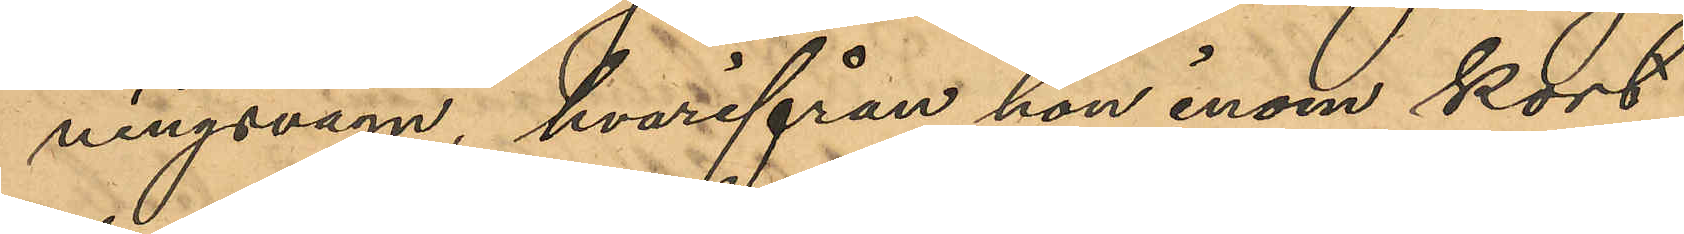ningsvagn, hvarifrån hon inom kort
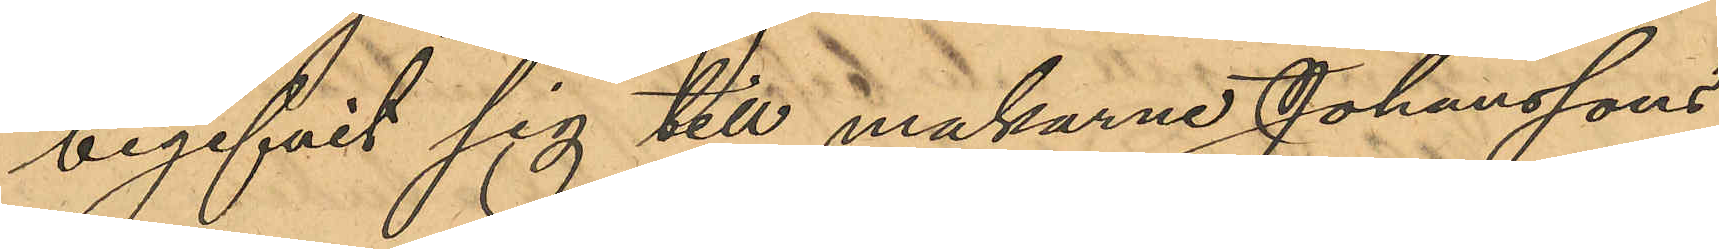begifvit sig till makarne Johanssons
